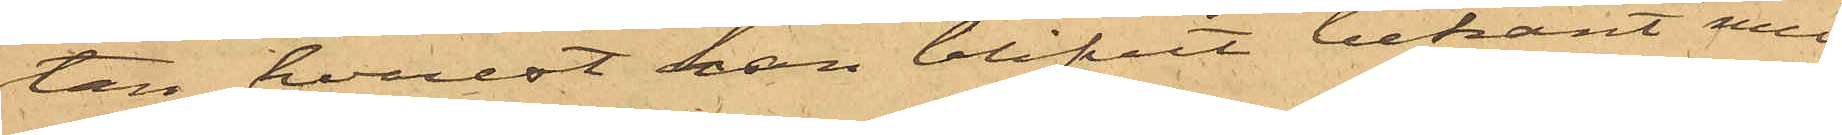tan, hvarest han blifvit bekant med
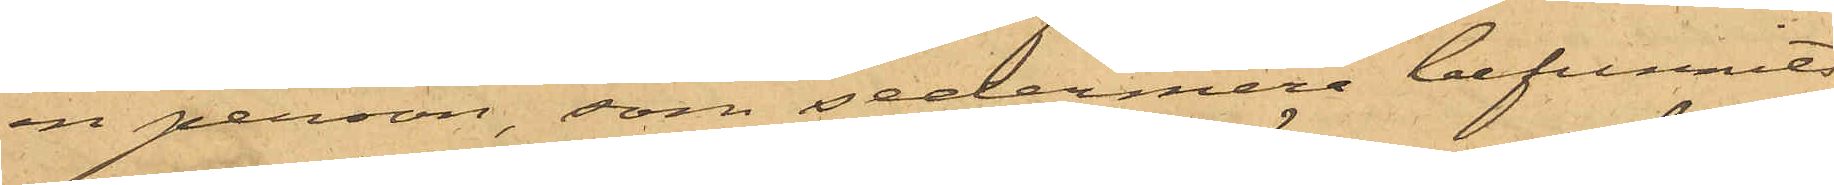en person, som sedermera befunnits
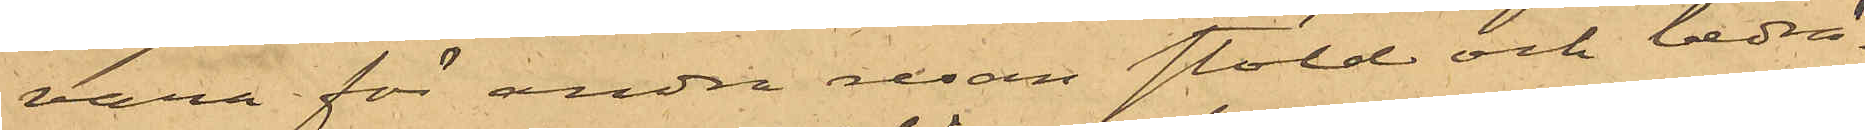vara för andra resan stöld och bedrä¬
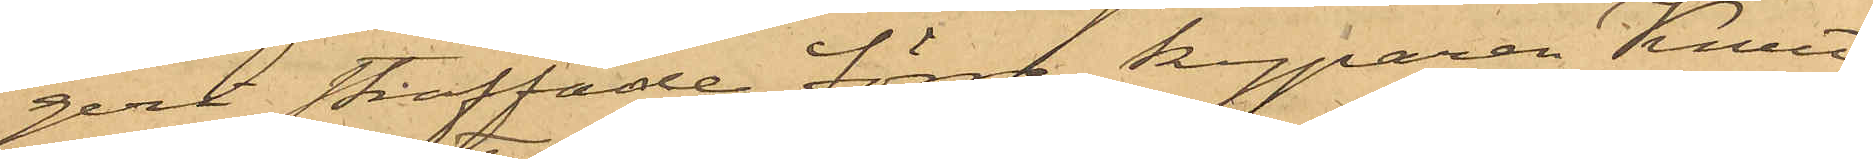geri straffade förre kyparen Knut
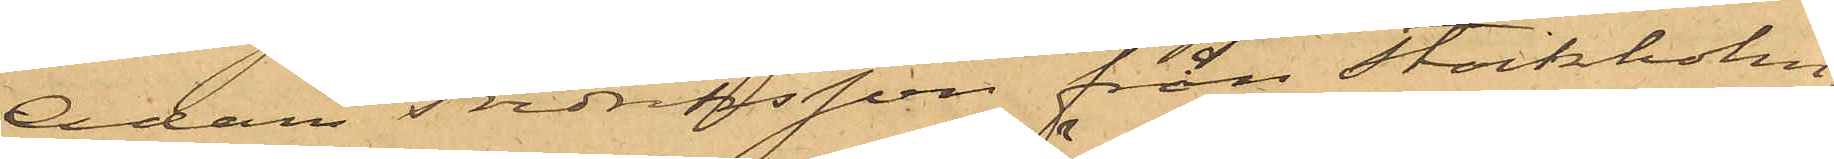Adam Fredriksson från Stockholm;
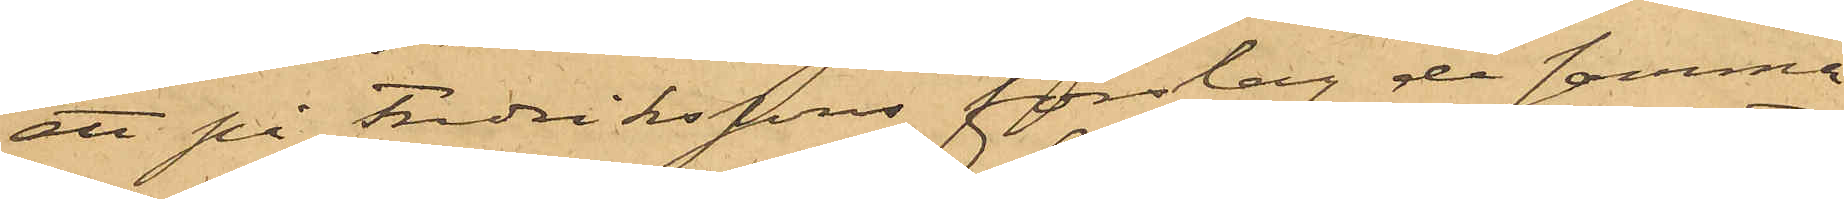att på Fredrikssons förslag de samma
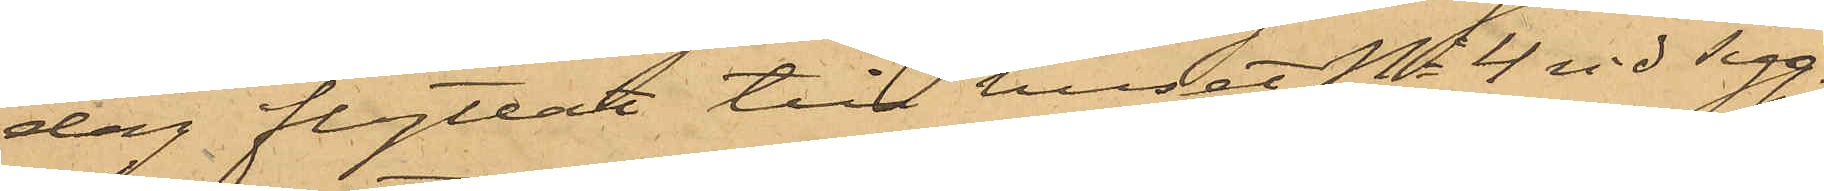dag flyttat till huset No 4 vid Tyg¬
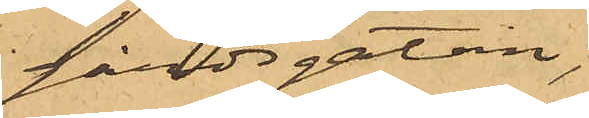gårdsgatan,
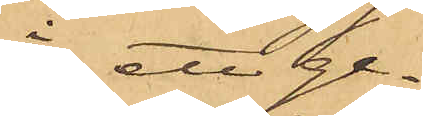 i ett ge¬
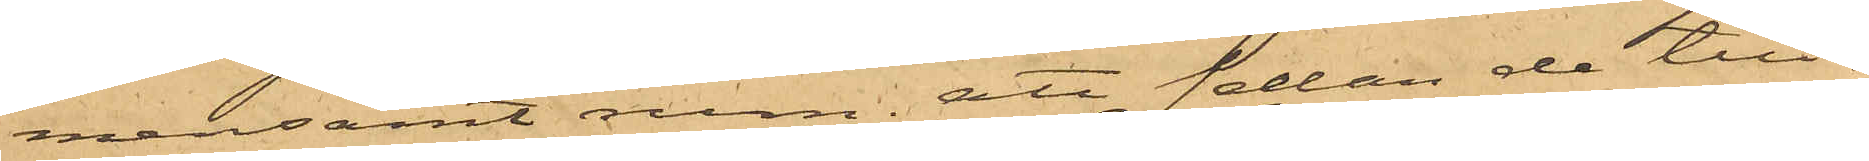mensamt rum; att sedan de till¬
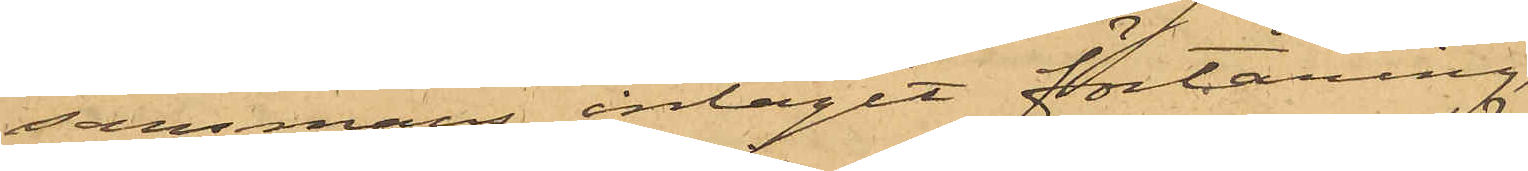sammans intagit förtäring,
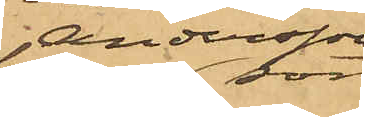Andersson,
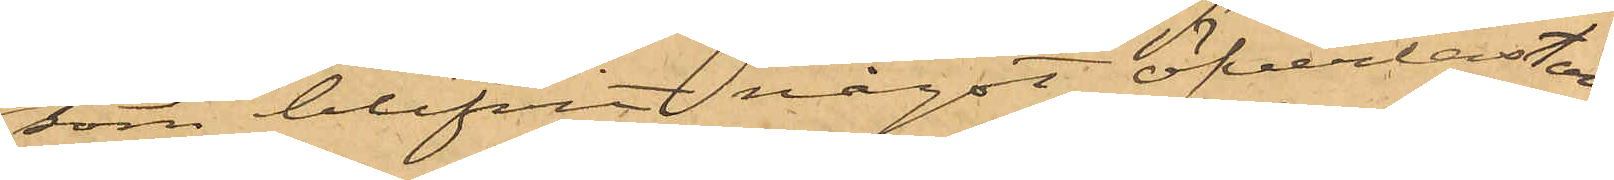som blifvit något öfverlastad
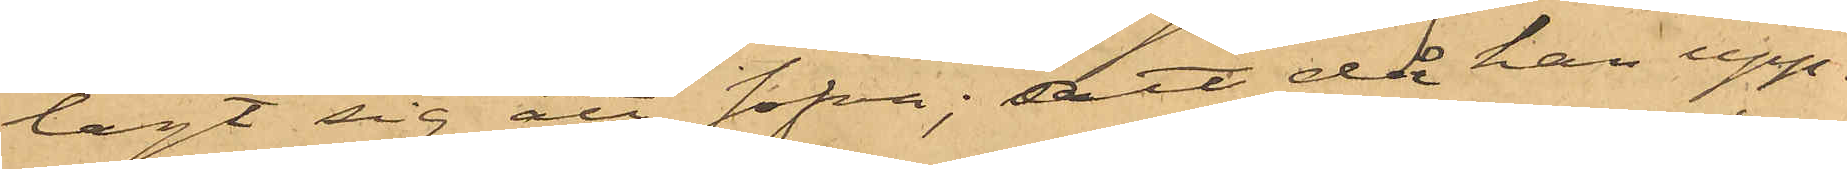lagt sig att sofva; att då han upp¬
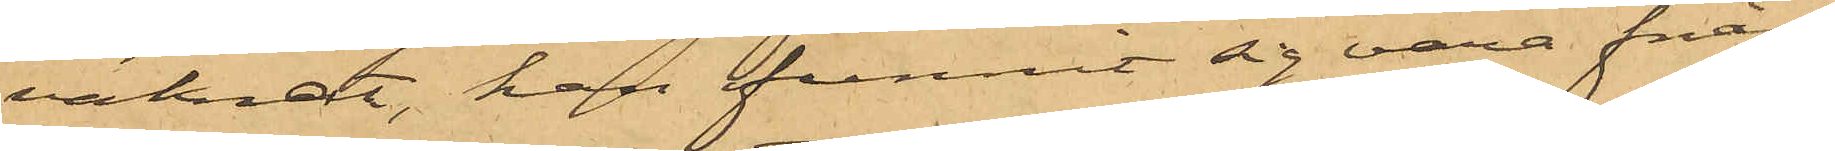vaknat, han funnit sig vara från¬
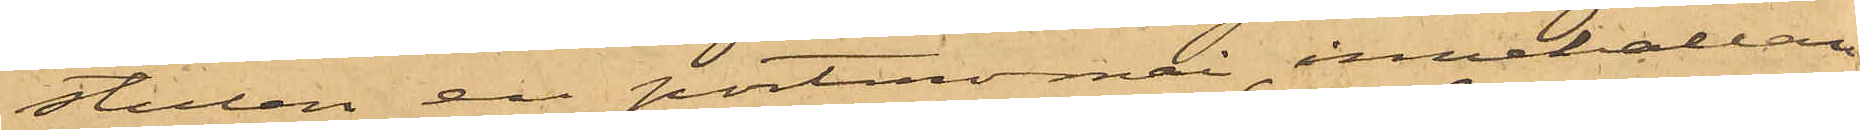stulen en portmonnai, innehållan¬
